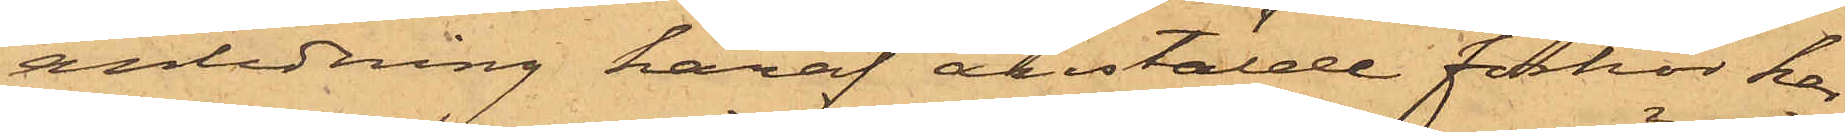anledning häraf anstälde förhör har
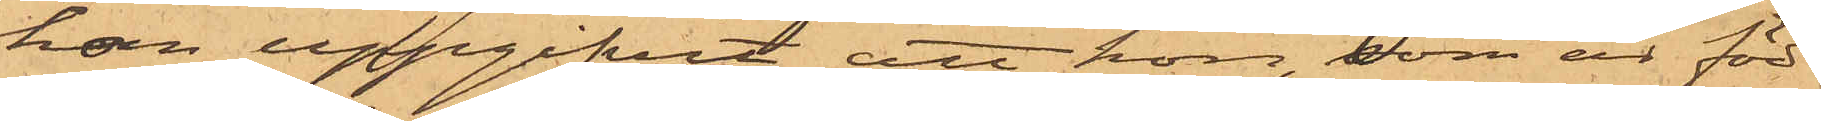hon uppgifvit, att hon, som är född
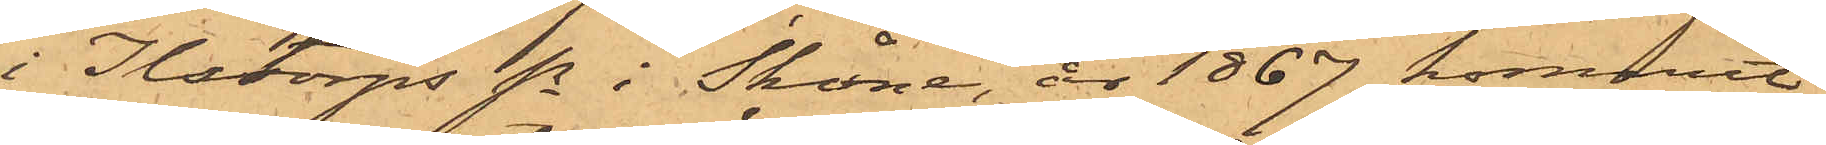i Ilstorps Sn i Skåne, år 1867 kommit
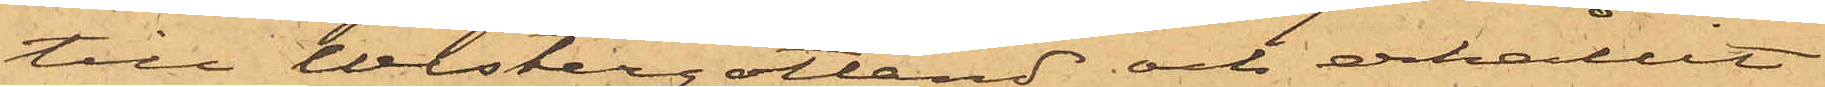till Westergötland och erhållit
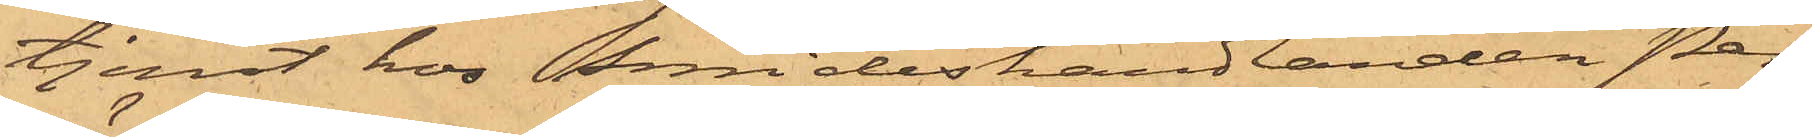tjenst hos Smideshandlanden Per
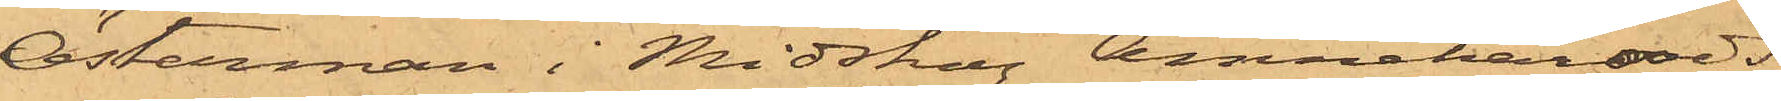Österman i Midskog Amnehärads
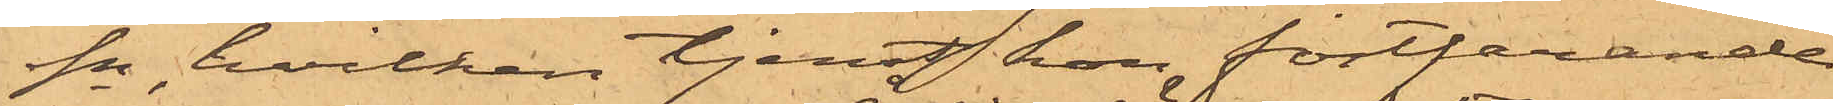Sn, hvilken tjenst hon fortfarande
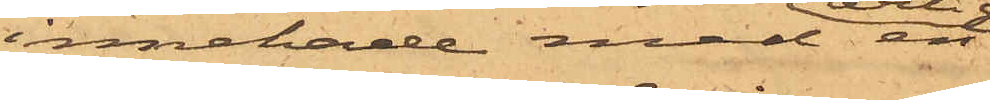innehade med en
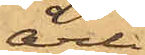årlig
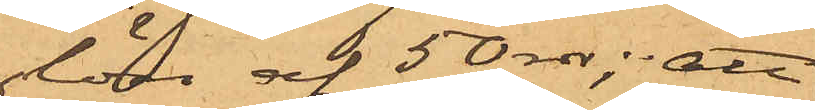lön af 50 rdr; att
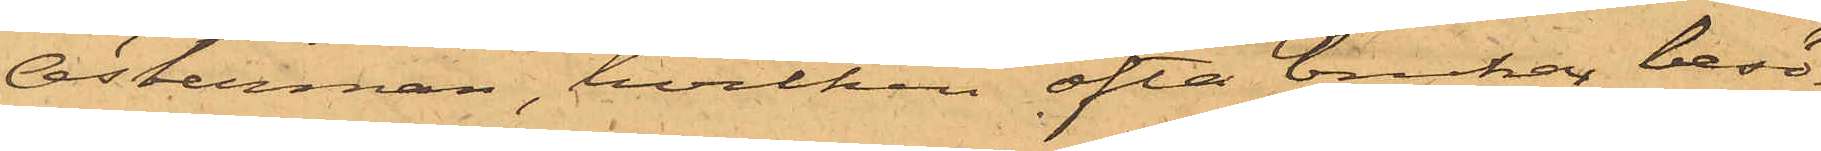Österman, hvilken ofta brukar besö¬
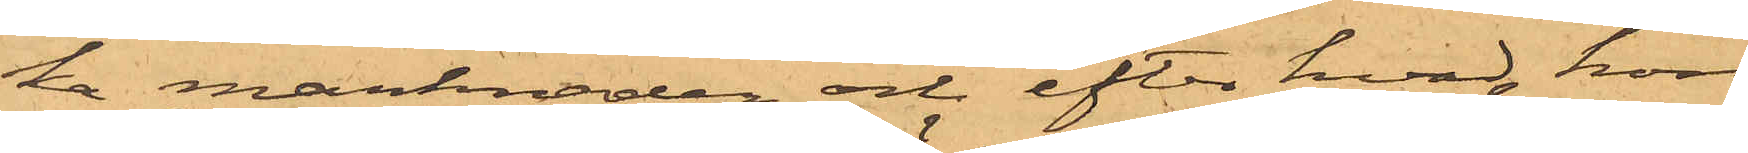ka marknaden och efter hvad hon
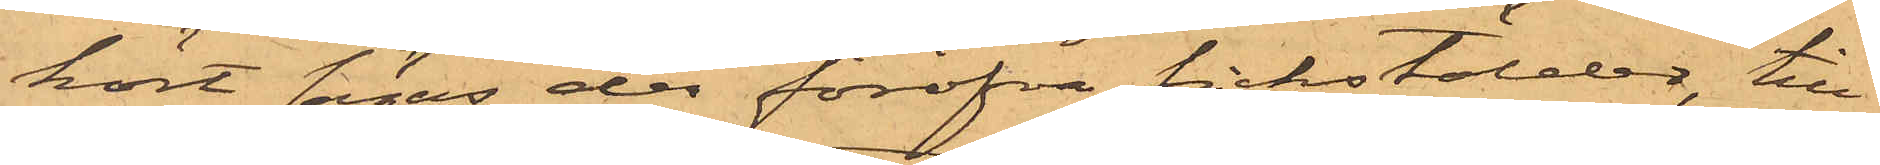hört sägas der föröfva fickstölder, till¬
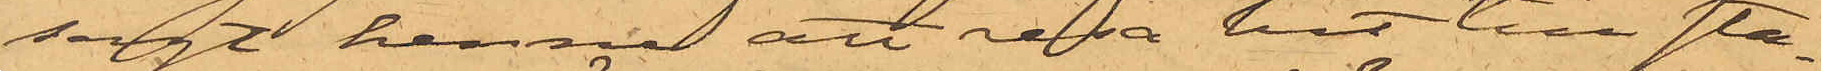sagt henne att resa hit till sta¬
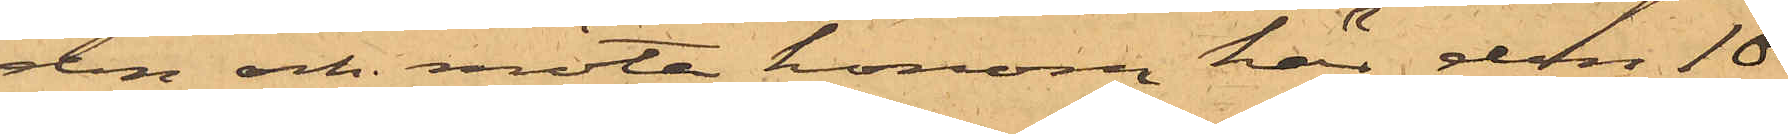den och möta honom här den 10
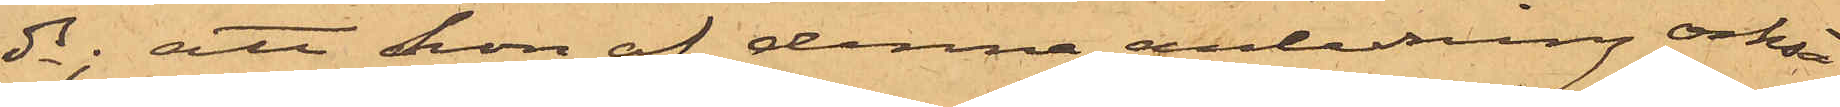ds; att hon af denna anledning också
